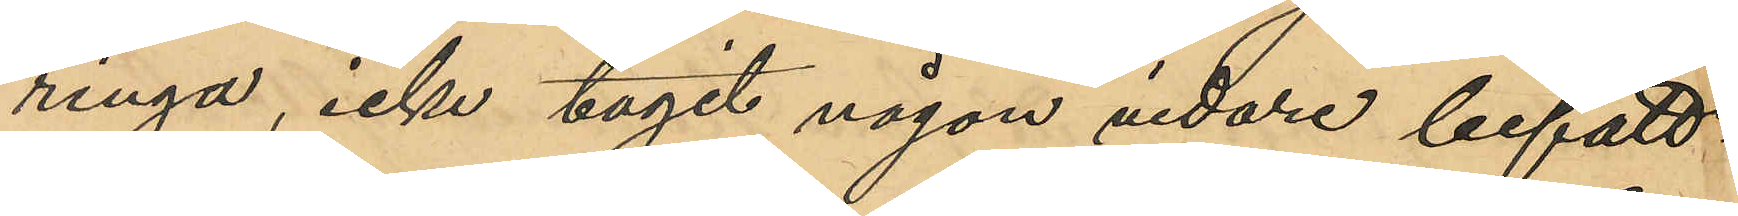ringa, icke tagit någon vidare befatt-
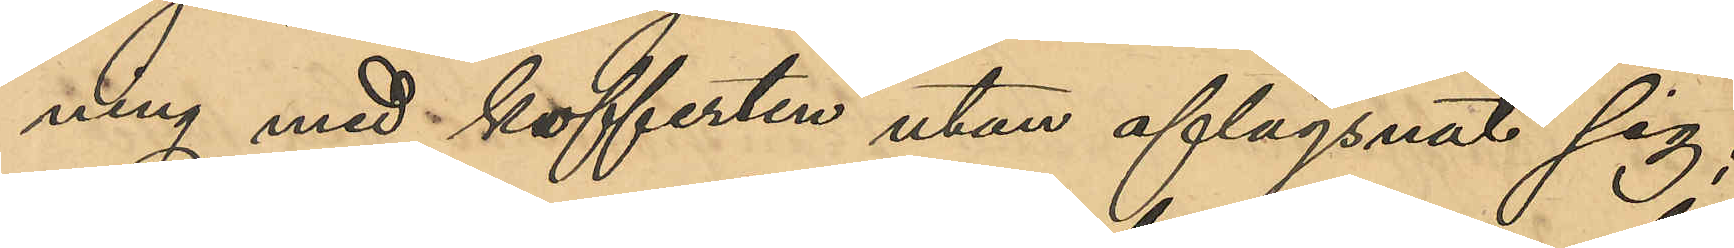ning med kofferten utan aflägsnat sig;
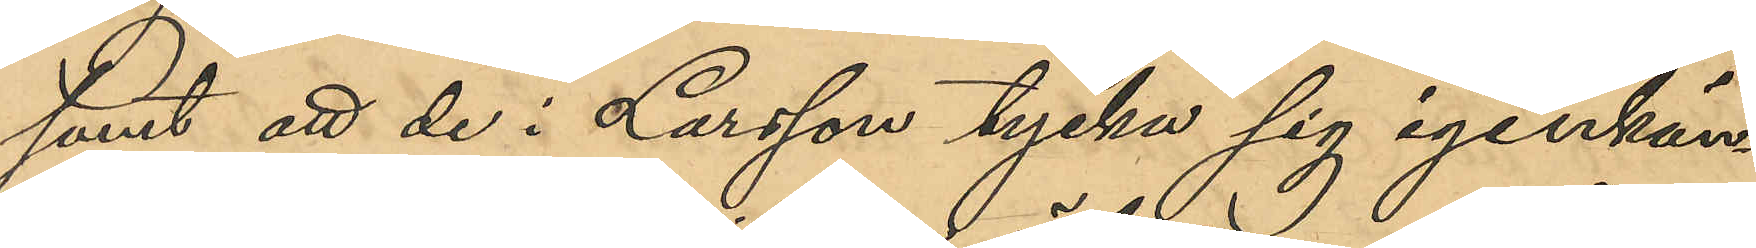samt att de i Larsson tycka sig igenkän¬
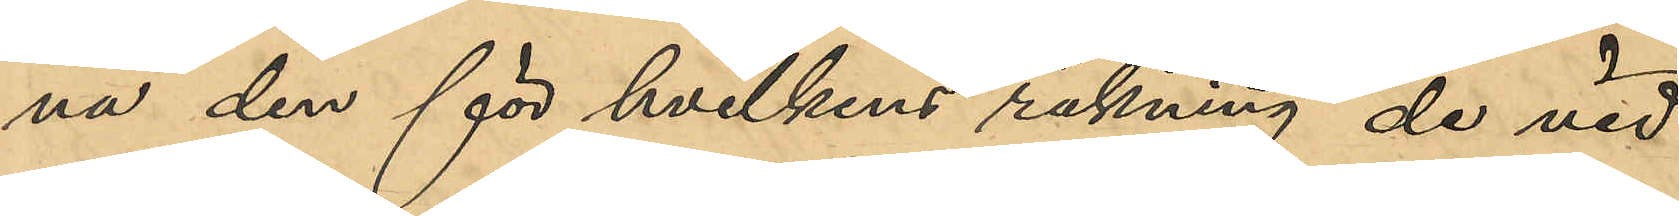na den för hvilkens räkning de vid
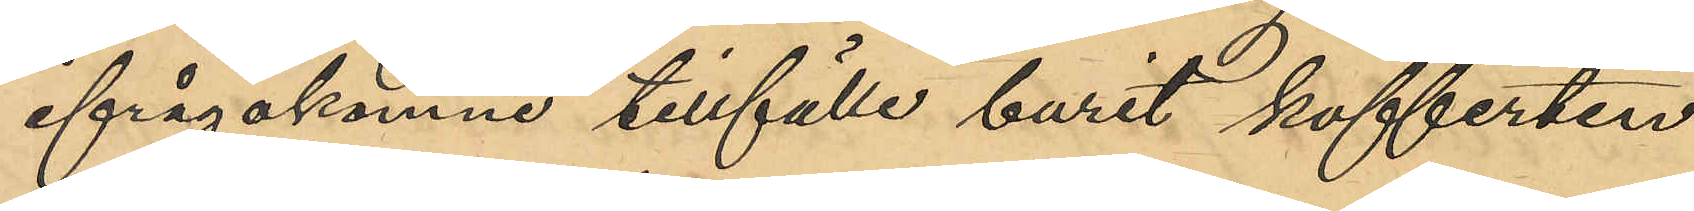ifrågakomne tillfälle burit kofferten.
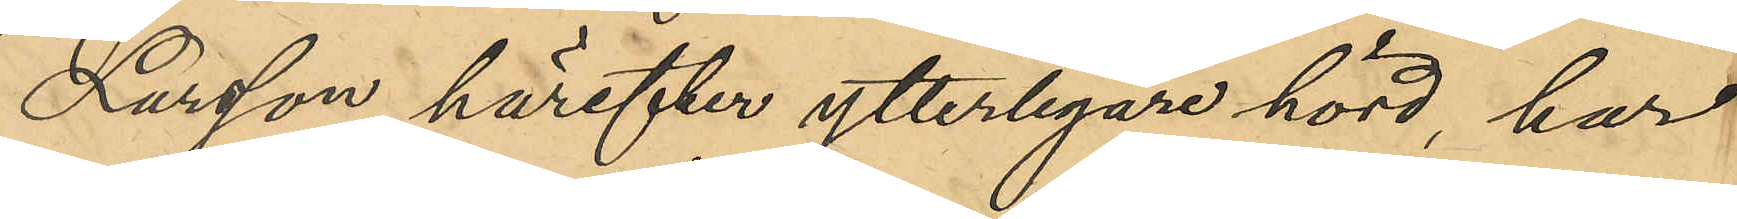Larsson härefter ytterligare hörd, har
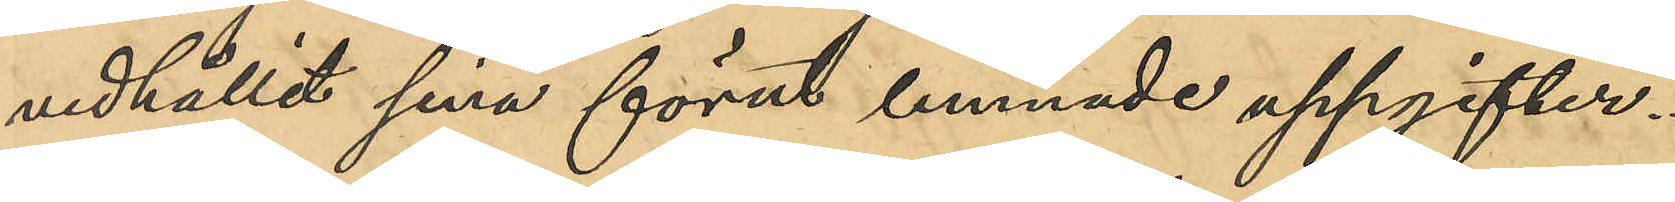vidhållit sina förra lemnade uppgifter.
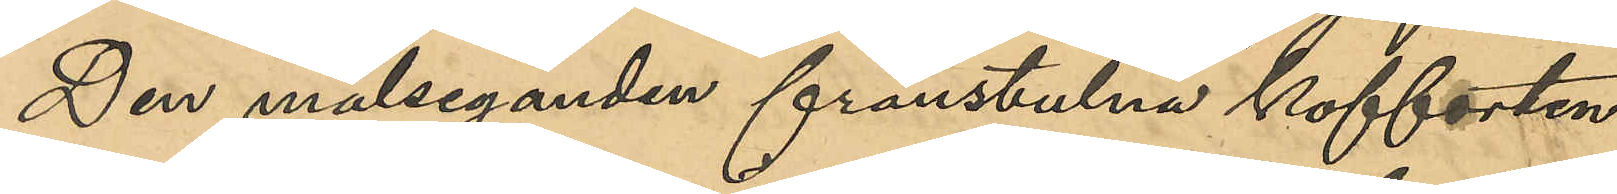Den målseganden frånstulna kofferten
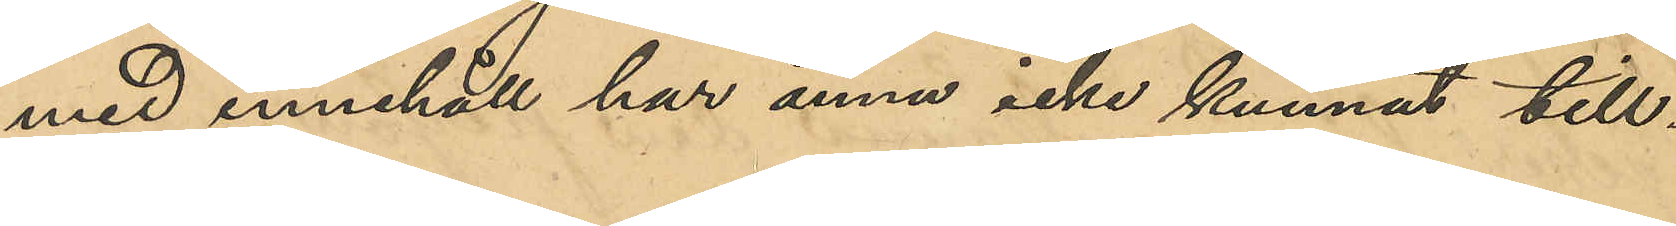med innehåll har ännu icke kunnat till¬
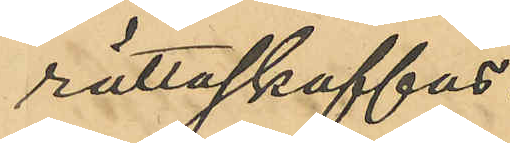rättaskaffas.
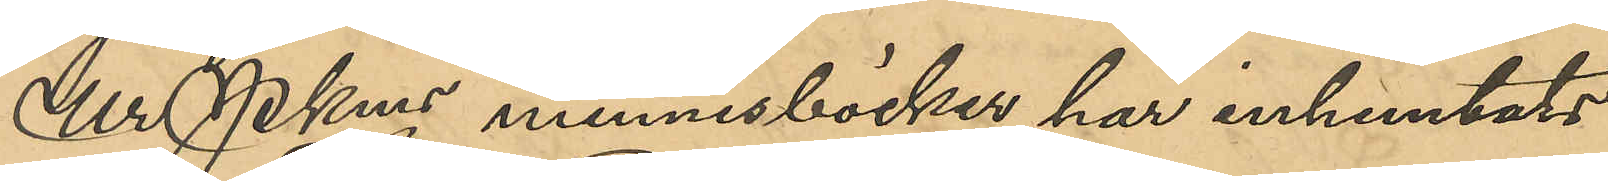Ur Pkmns minnesböcker har inhemtats
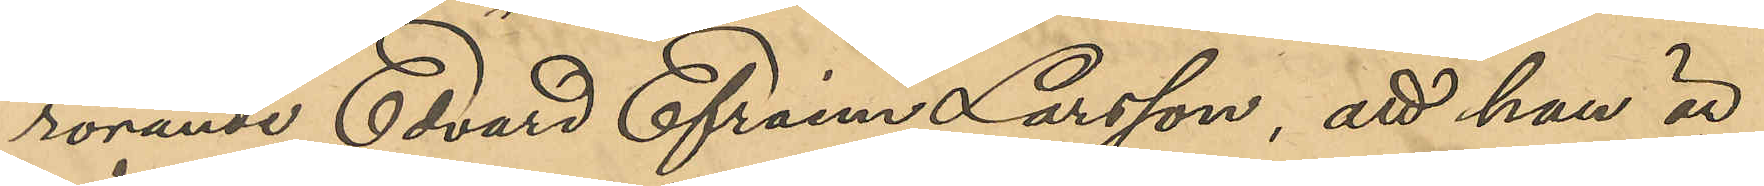rörande Edvard Efraim Larsson, att han är
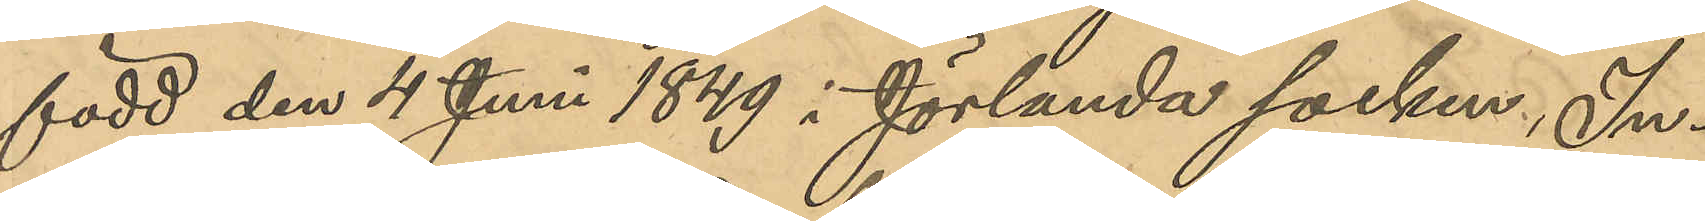född den 4 Juni 1849 i Jörlanda socken, In¬
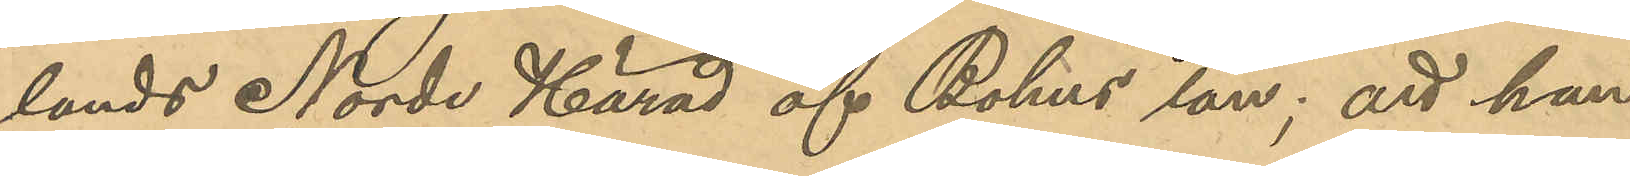lands Norde Härad af Bohus län; att han
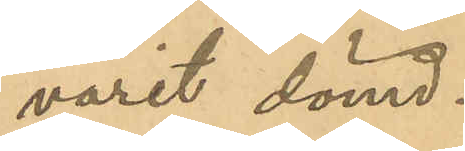varit dömd:
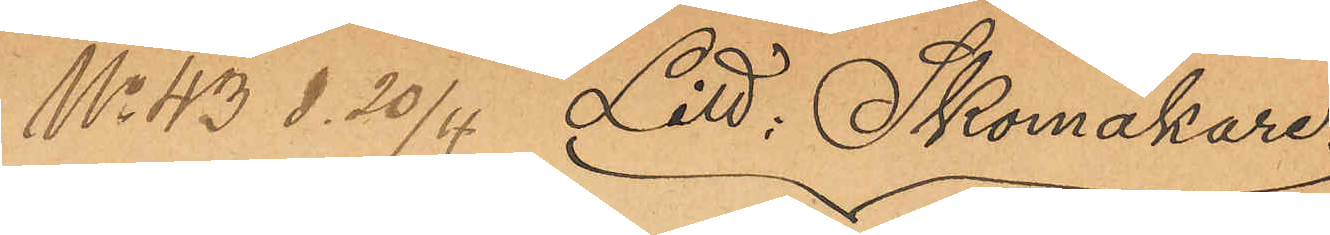No 43 d. 20/4 Litt : Skomakare
